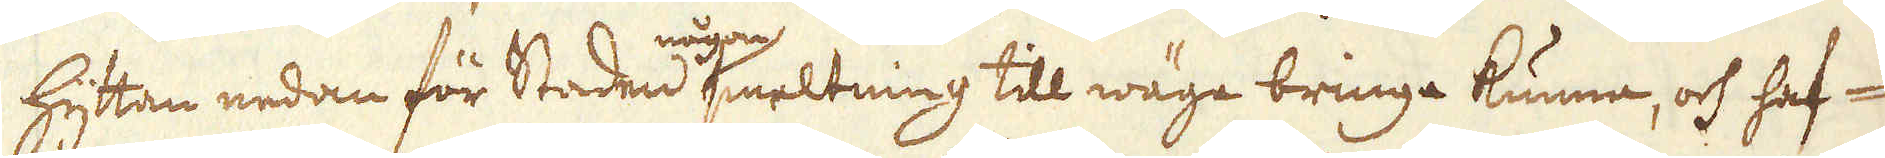hyttan nedan för Staden någon smeltning till wäga bringa kunna, och haf-
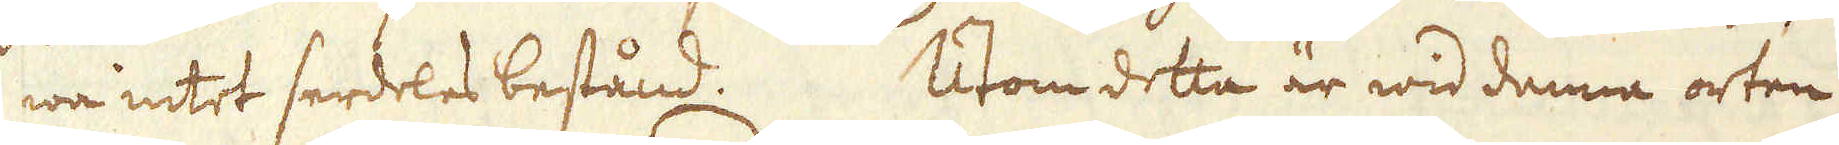wa intet serdeles bestånd. Utom detta är wid denna orten
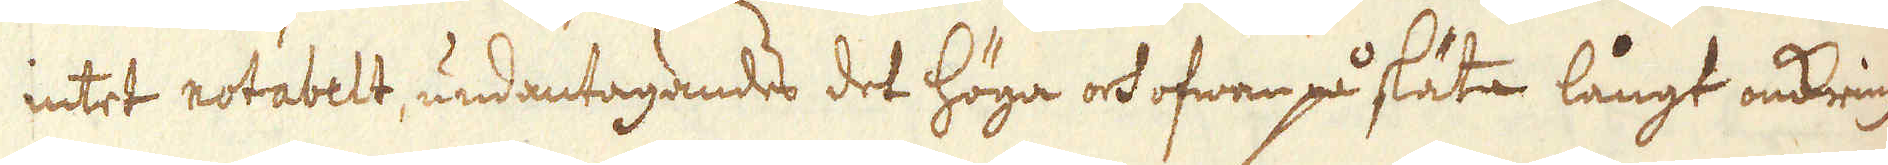intet notabelt, undantagandes det höga och ofwan på släta långt omkring
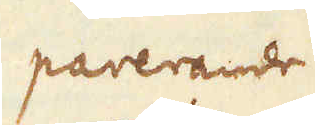parerarde
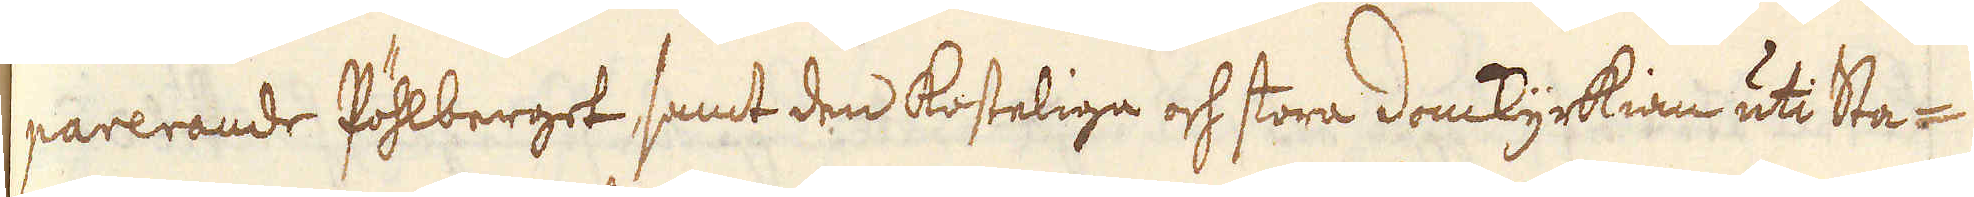parerande Pöhlberget samt den kosteliga och stora domkyrkian uti Sta-
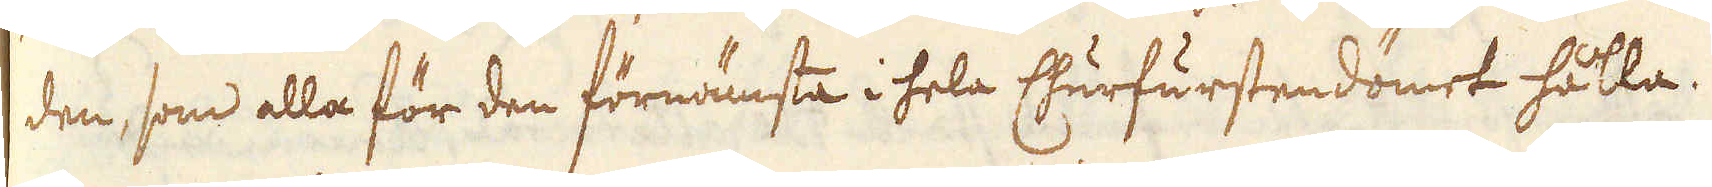den, som alla för den förnämsta i hela Churfurstendömet hålla.
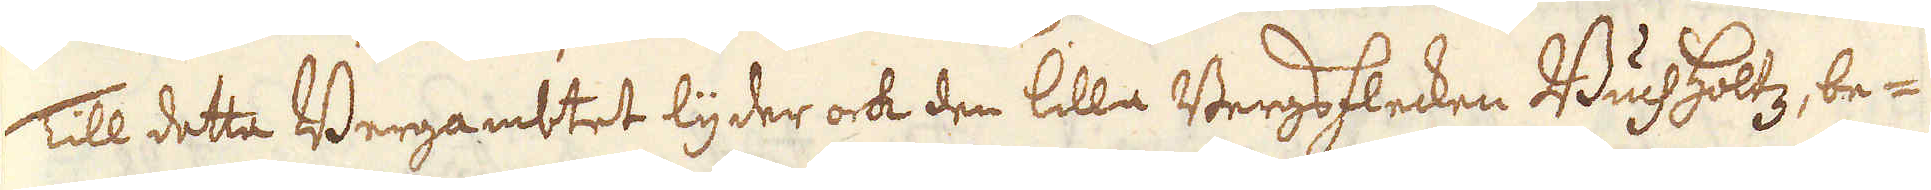Till detta Bergambtet lyder ock den lilla Bergsflecken Buchholtz, be-
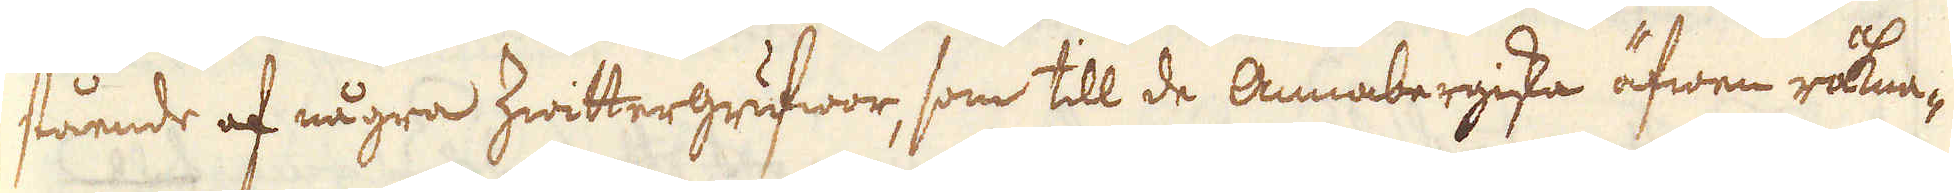stående af några Zwittergrufwor, som till de Annabergiska äfwen räkna-
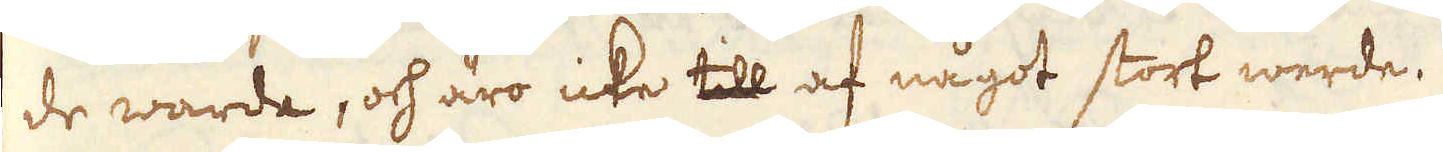de warda, och äro icke till af något stort werde.
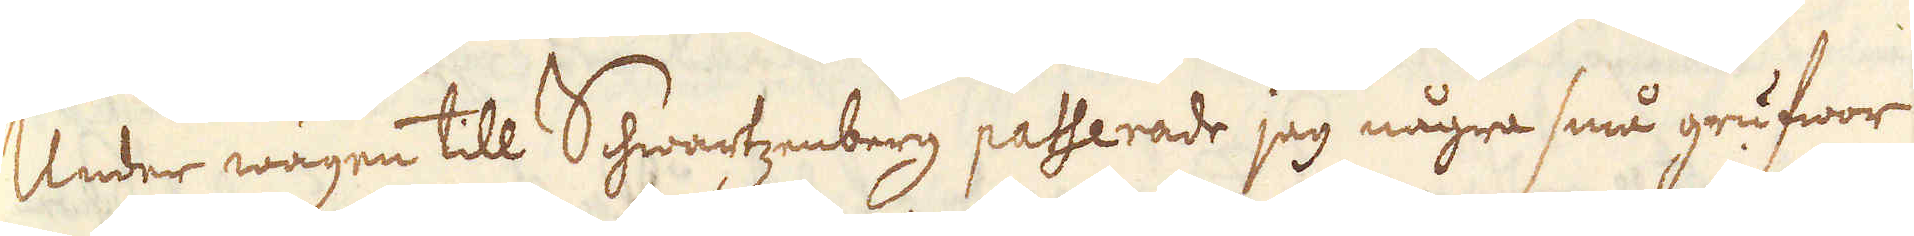Under wägen till Schwartzenberg passerade jag några små grufwor
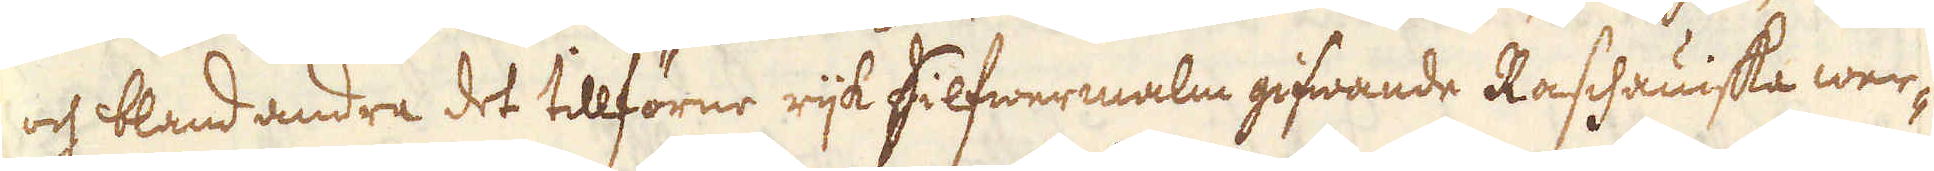och bland andra det tillförne rijk silfwermalm gifwande Raschaniska wer-
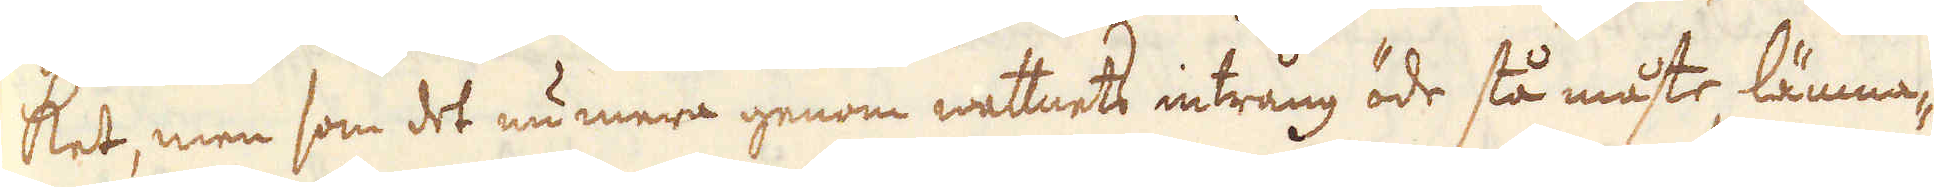ket, men som det nu mera genom wattnets intrång öde stå måste, lämna-
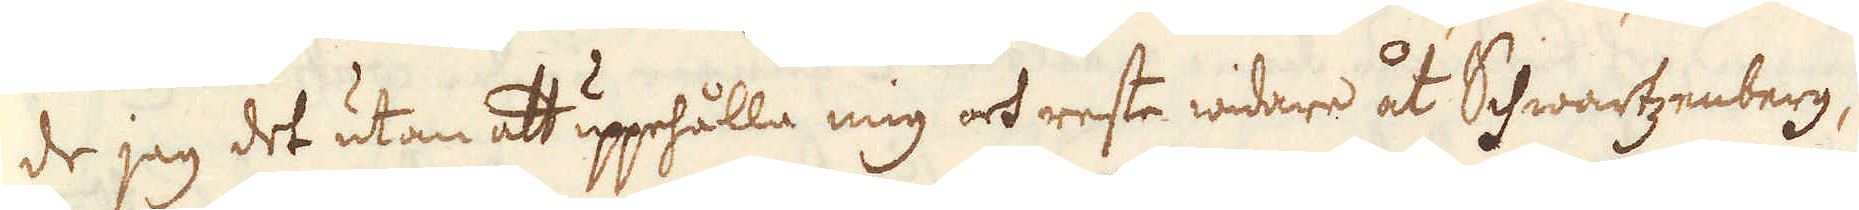de jag det utan att uppehålla mig och reste widare åt Schwartzenberg,
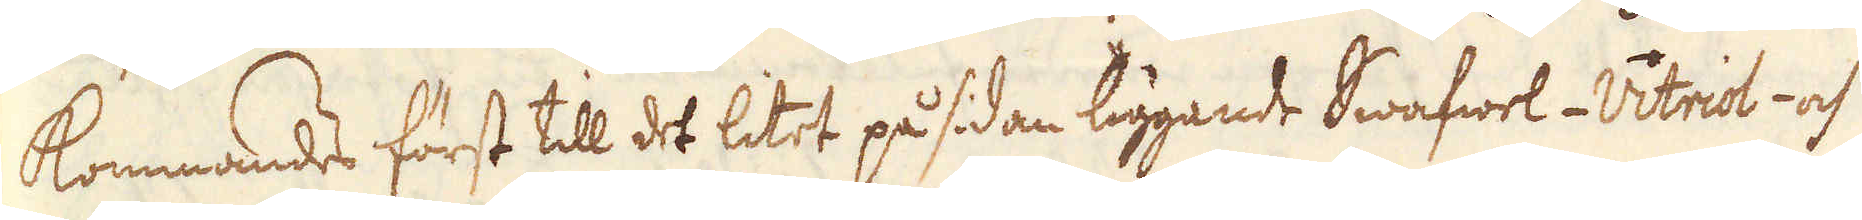kommandes först till det litet på sidan liggande Swafwel-Vitriol-och
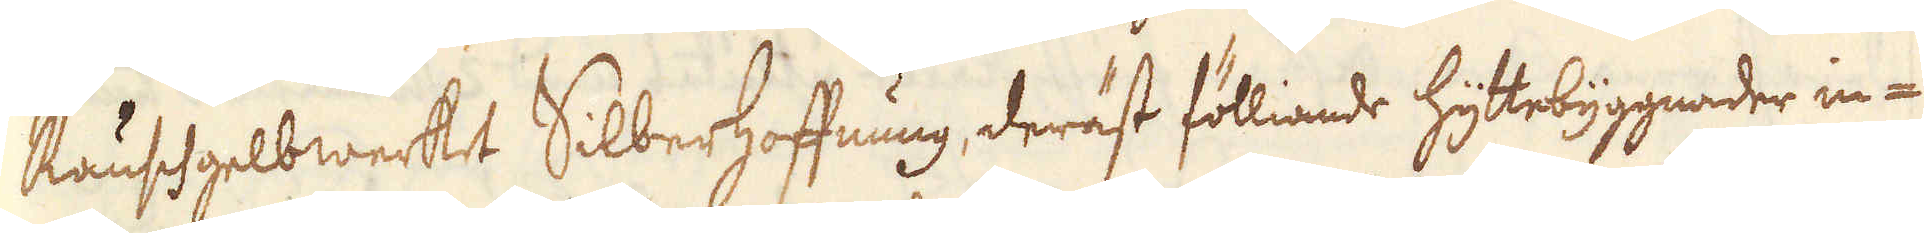Rauschgelbwerket Silberhoffnung, deräst fölliande hyttebyggnader in-
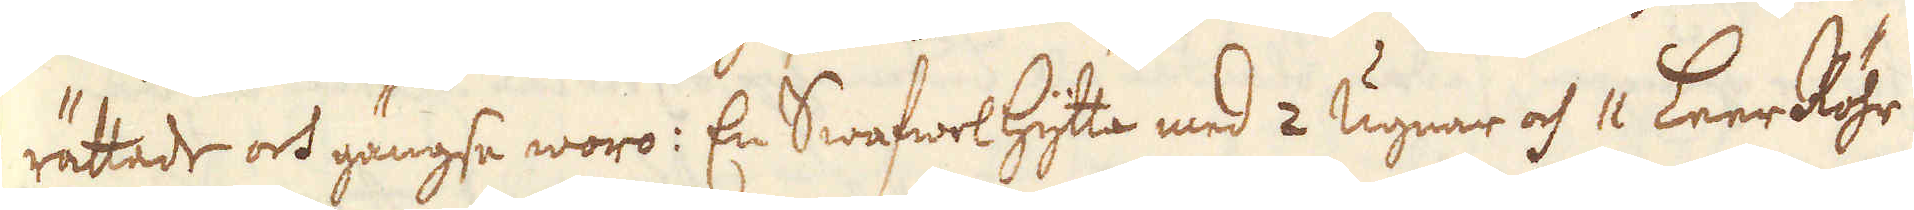rättade och gängse woro: En Swafwelhytta med 2 Ugnar och 11 Leer Röhr
